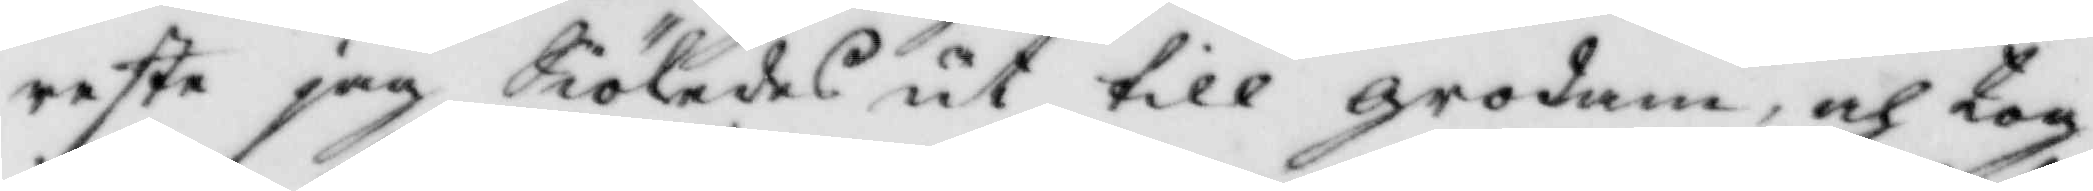reste jag Siöledes till grodan, och tog
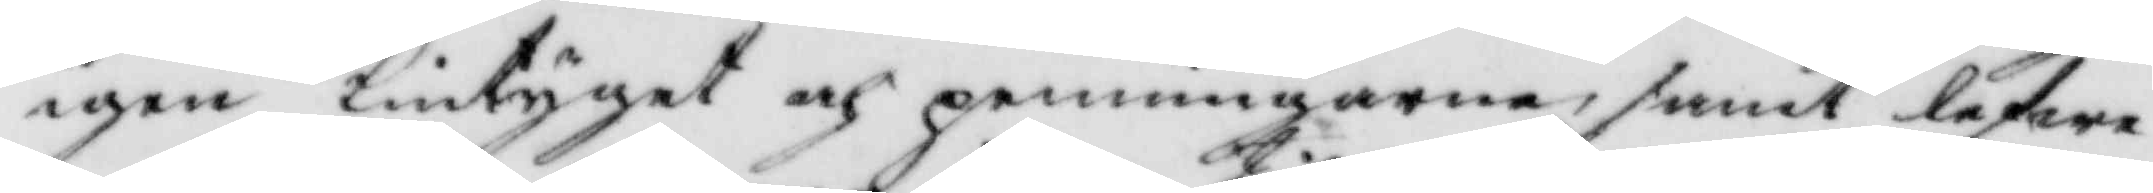igen lintyget och penningarne, samt lefwe¬
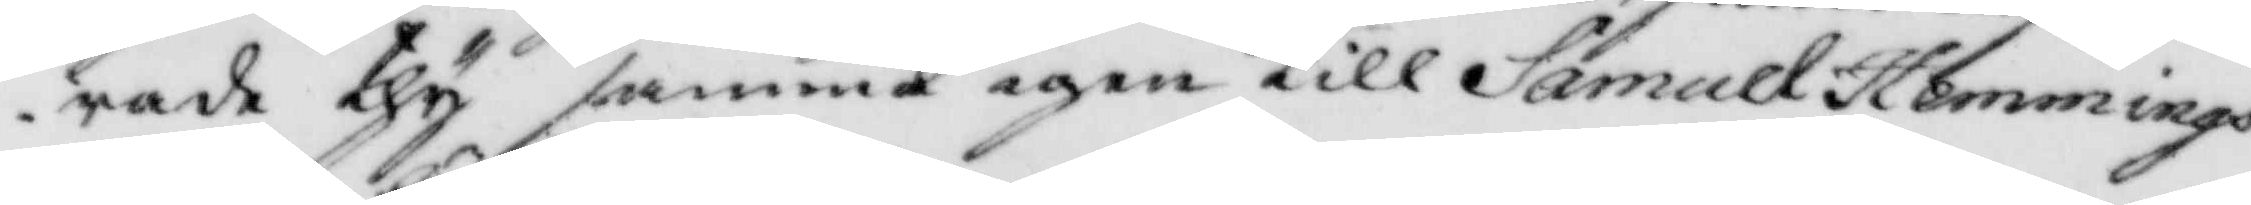rade thy samma igen till Samuel Hemmings¬
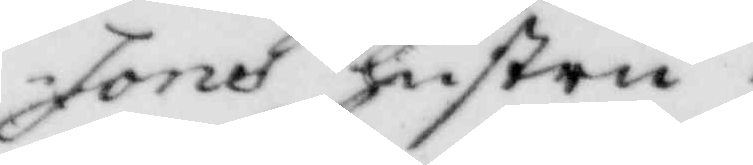sons hustru.
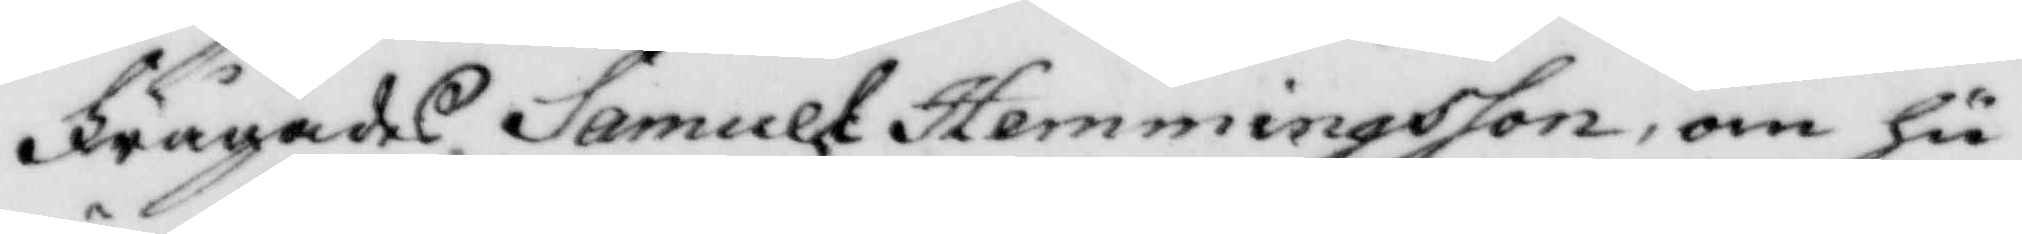Frågades Samuel hemmingsson om hu¬
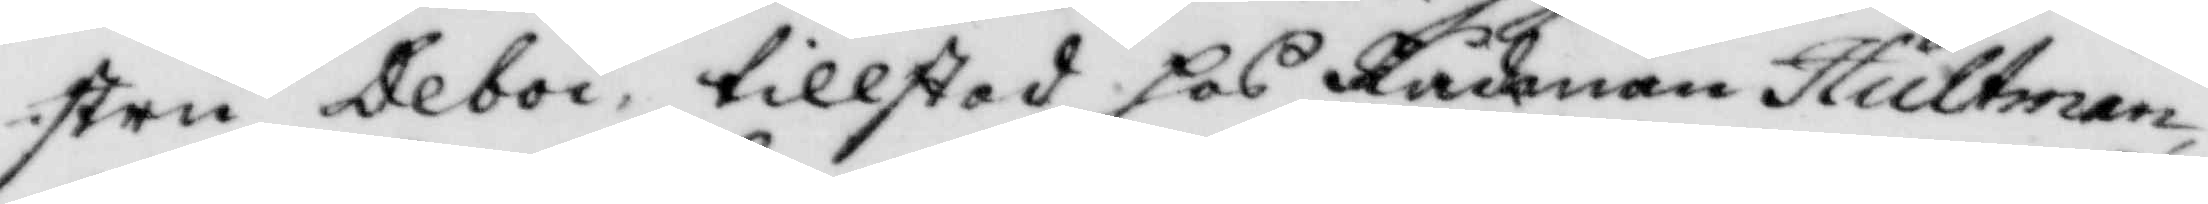stru Deboi, tillstod hos Rådman Hultman,
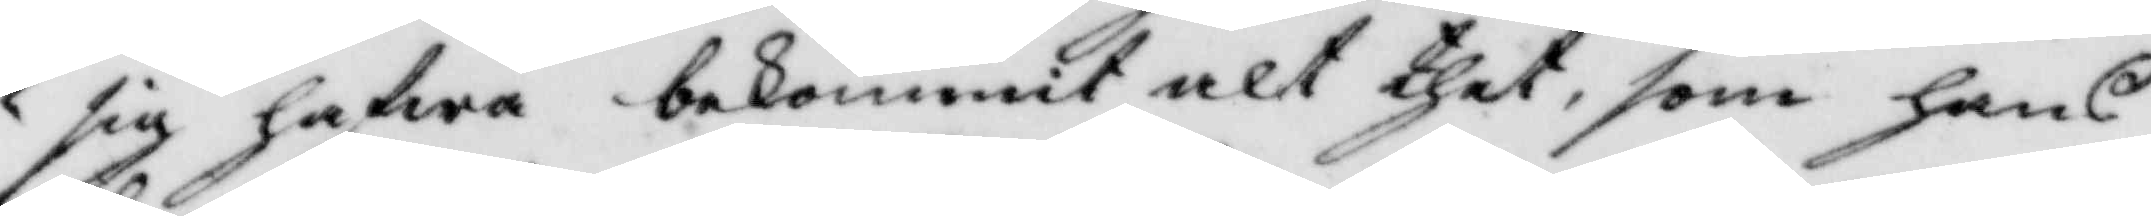sig hafwa bekommit alt thet, som hans
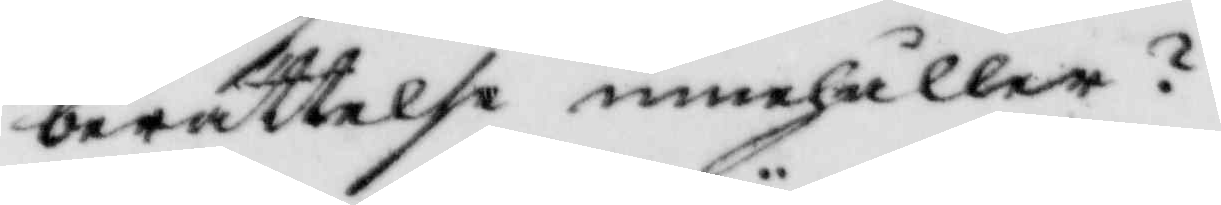berättelse innehåller?
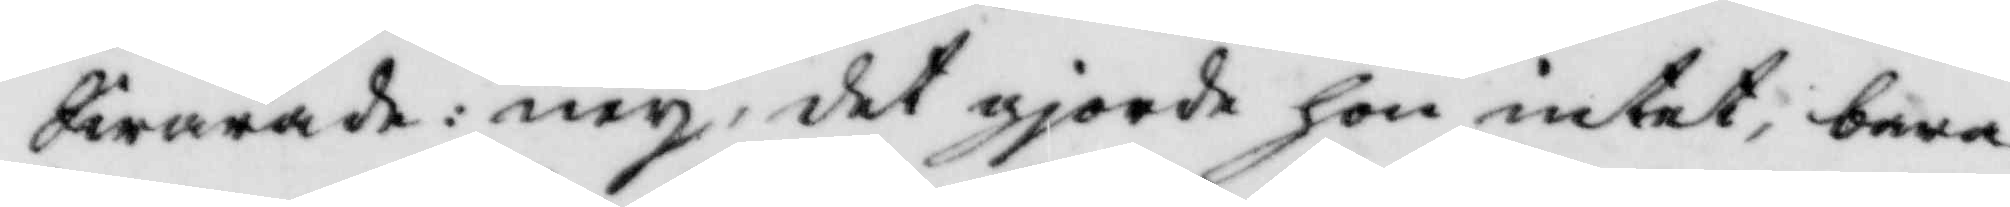Swarande: ney, det gjorde hon intet, bara
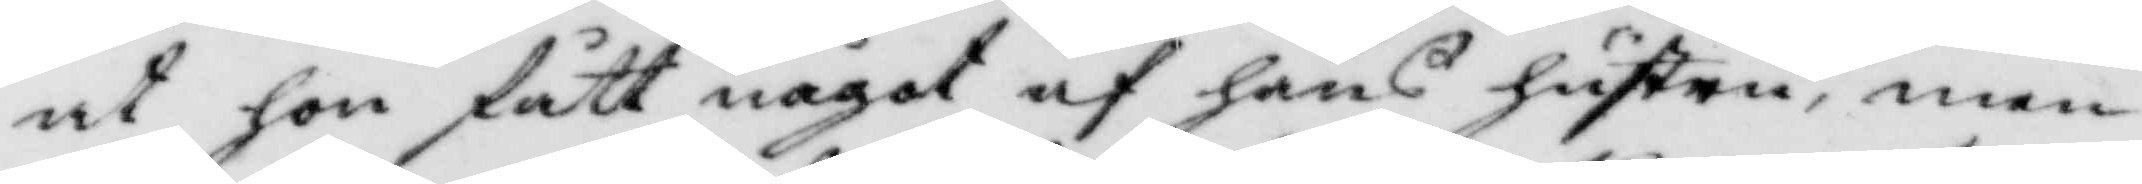at hon fått något af hans hustru, men
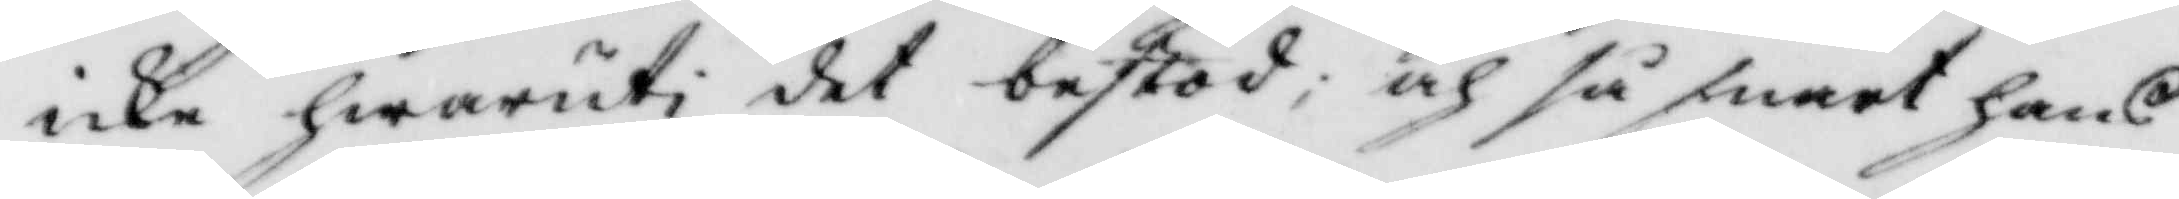icke hwaruti det bestod; och så snart hans
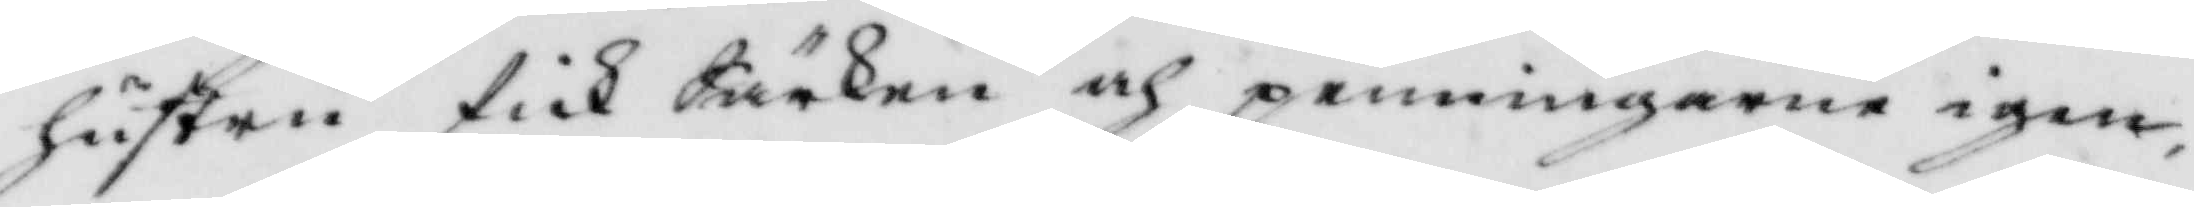hustru fick Särken och penningarne igen
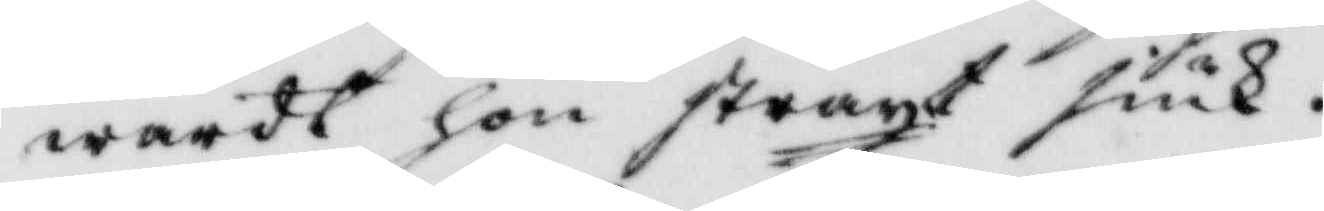wardt hon straxt siuk.
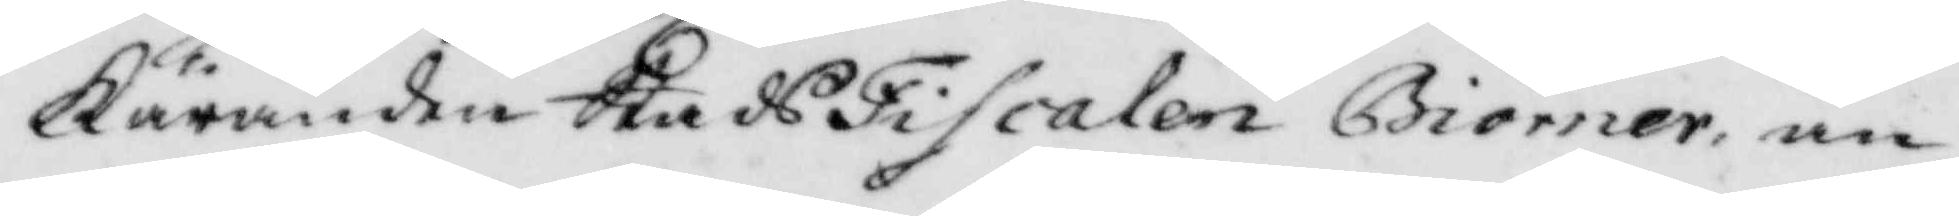Käranden StadsFiscalen Biörner an¬
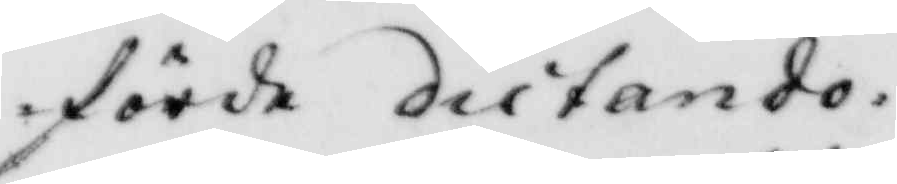förde diitando.
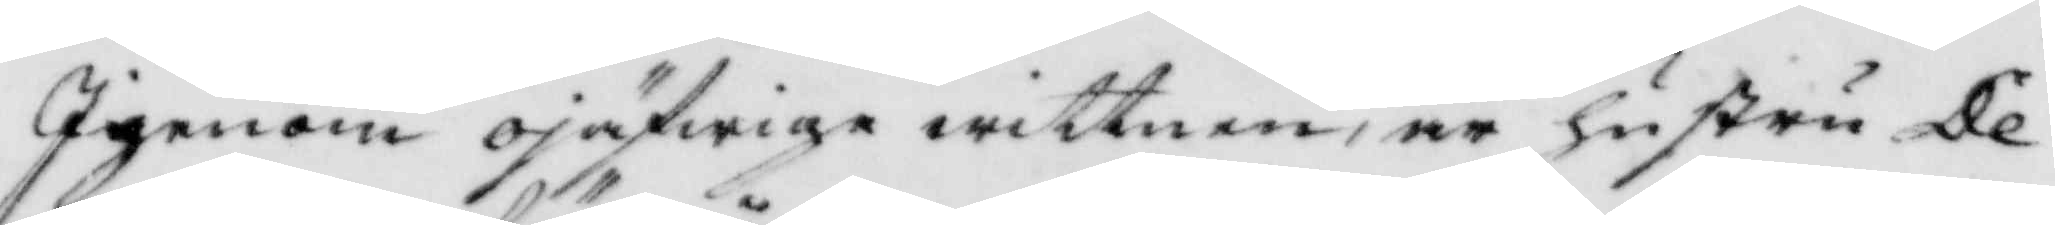Igenom ojäfwiga wittnen, är hustru De¬
